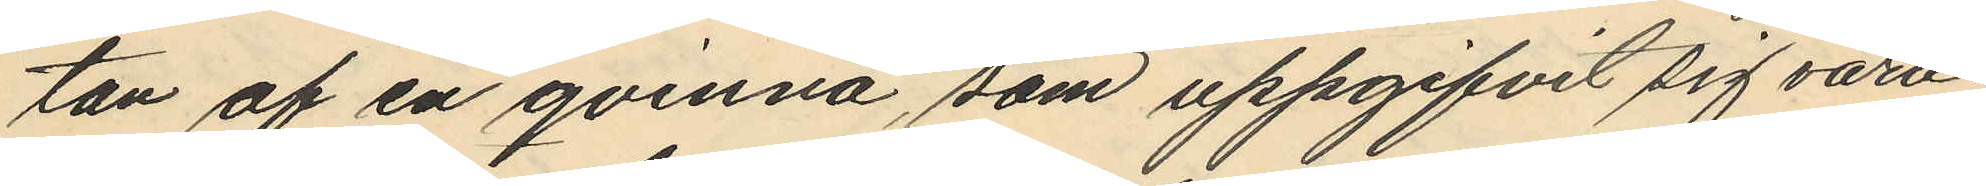tan af en qvinna, som uppgifvit sig vara
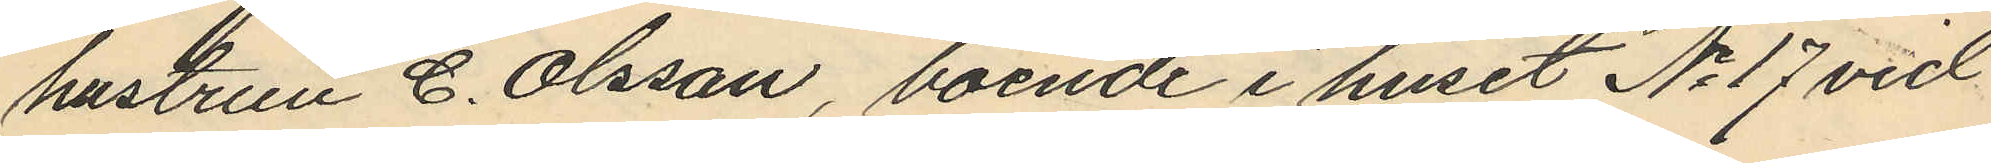hustrun C. Olsson, boende i huset No 17 vid
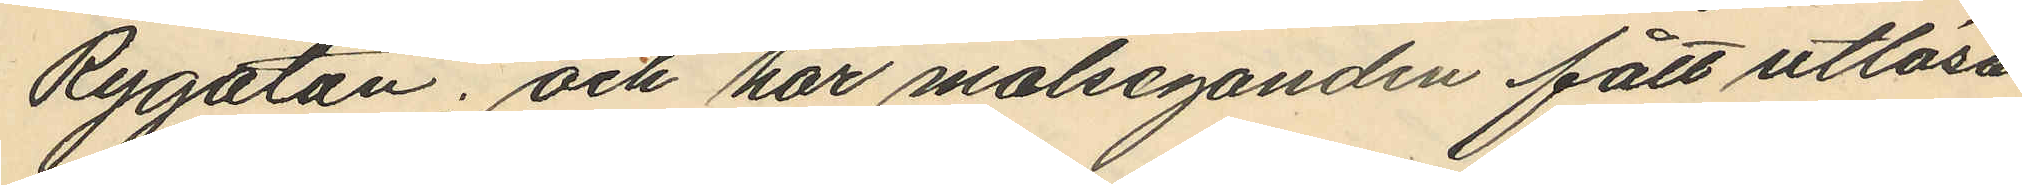Rygatan; och har målseganden fått utlösa
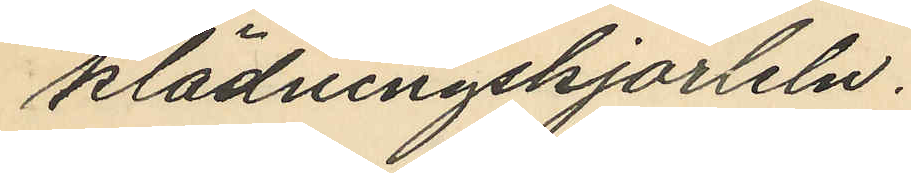klädningskjorteln.
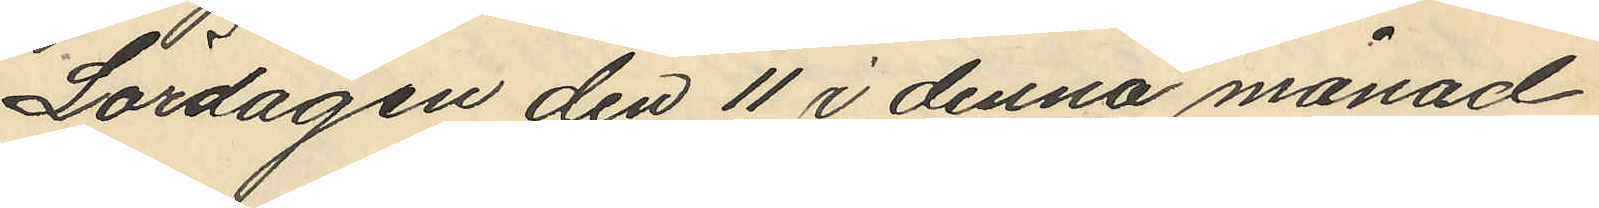Lördagen den 11 i denna månad
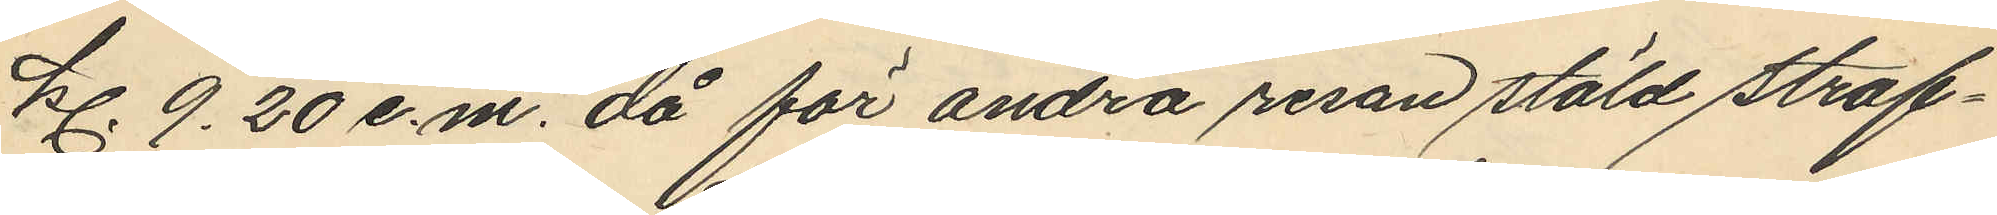kl. 9.20 e.m. då för andra resan stöld straf¬
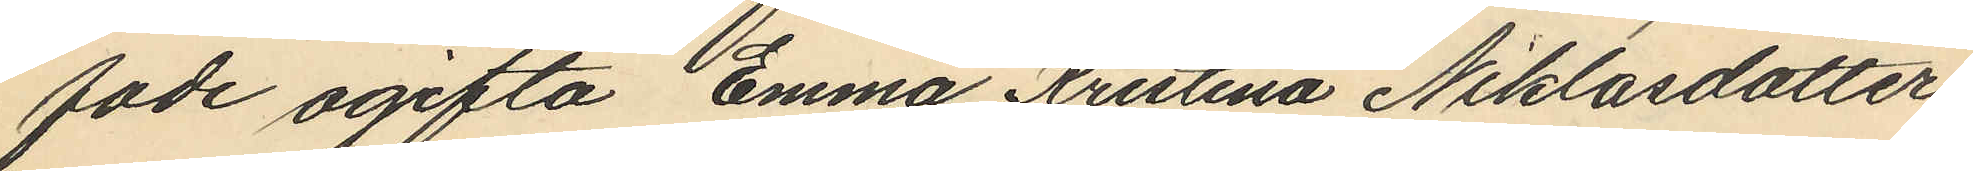fade ogifta Emma Kristina Niklasdotter
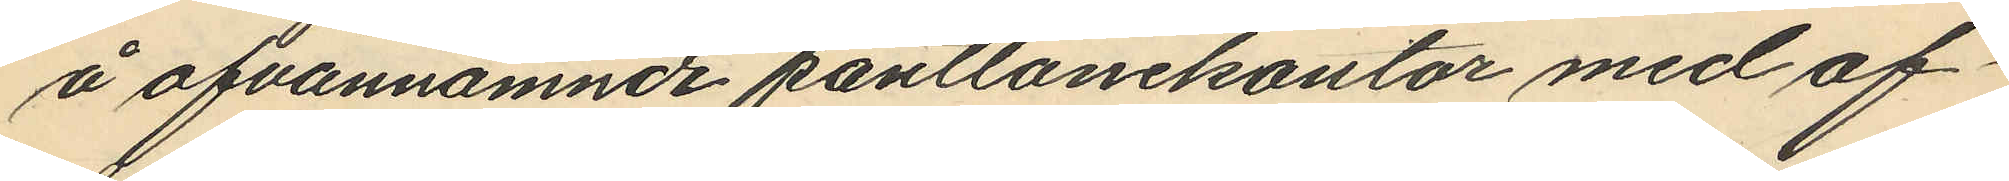å ofvannämnde pantlånekontor med af¬
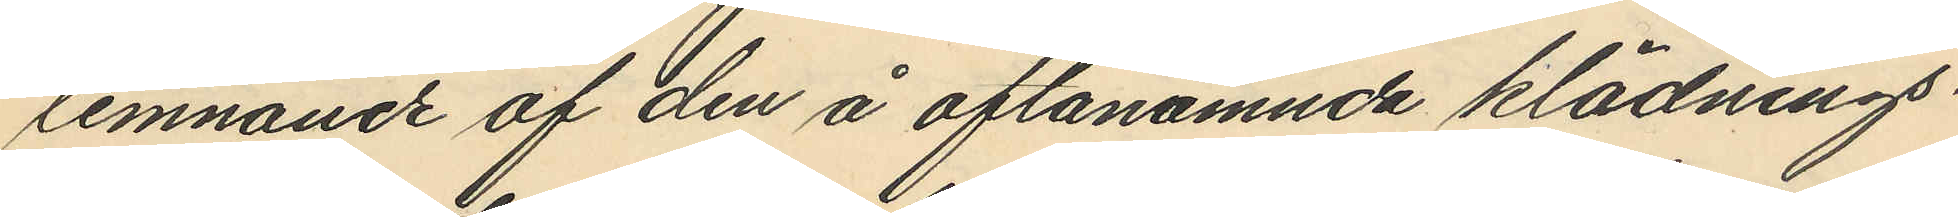lemnande af den å oftanämnda klädnings¬
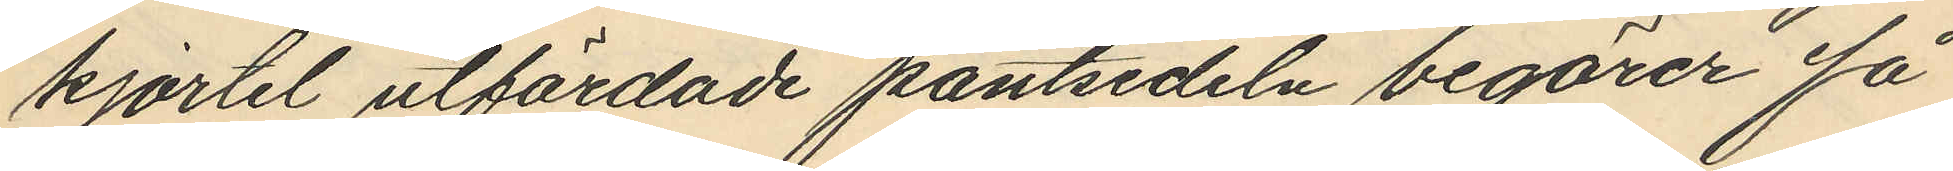kjortel utfärdade pantsedeln begärer få
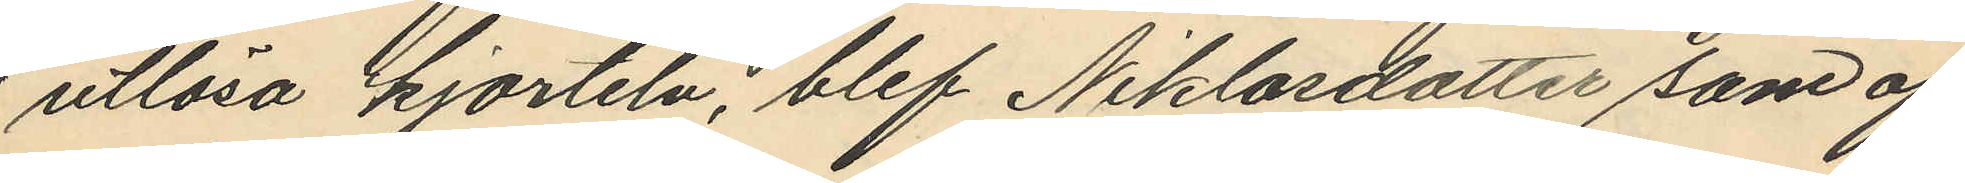utlösa kjorteln, blef Niklasdotter som af
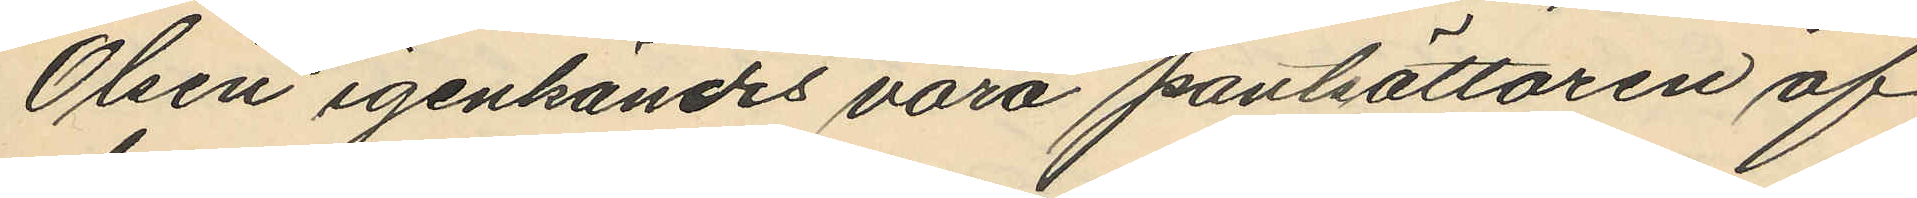Olsén igenkändes vara pantsättaren af
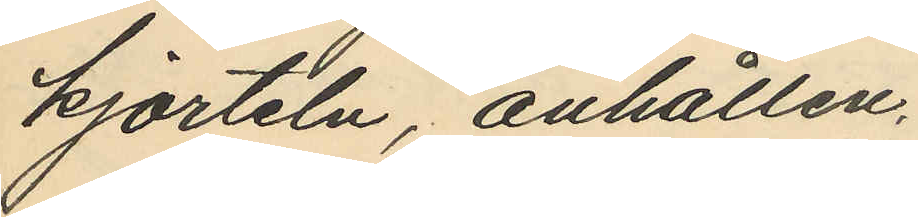kjorteln, anhållen.
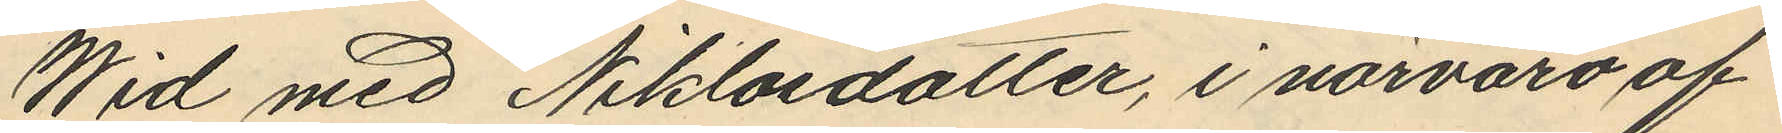Wid med Niklasdotter, i närvaro af
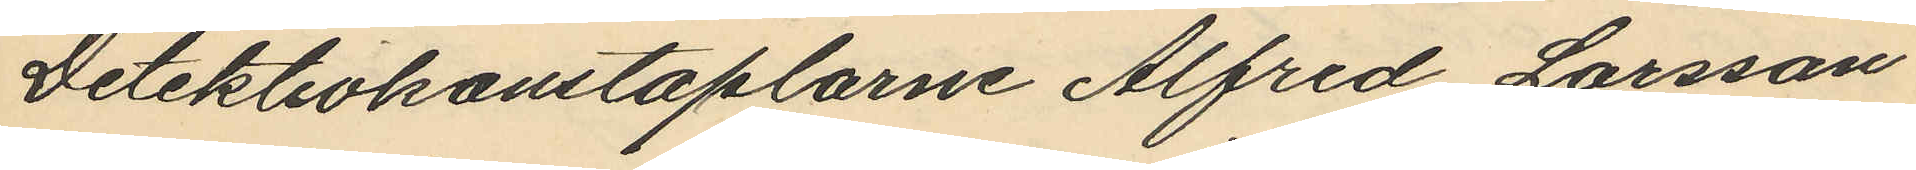Detektivkonstaplarne Alfred Larsson
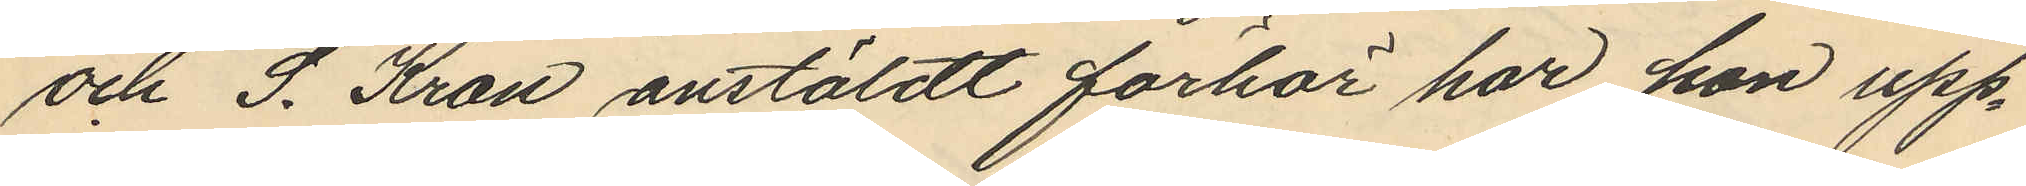och S. Kron anstäldt förhör har hon upp¬
